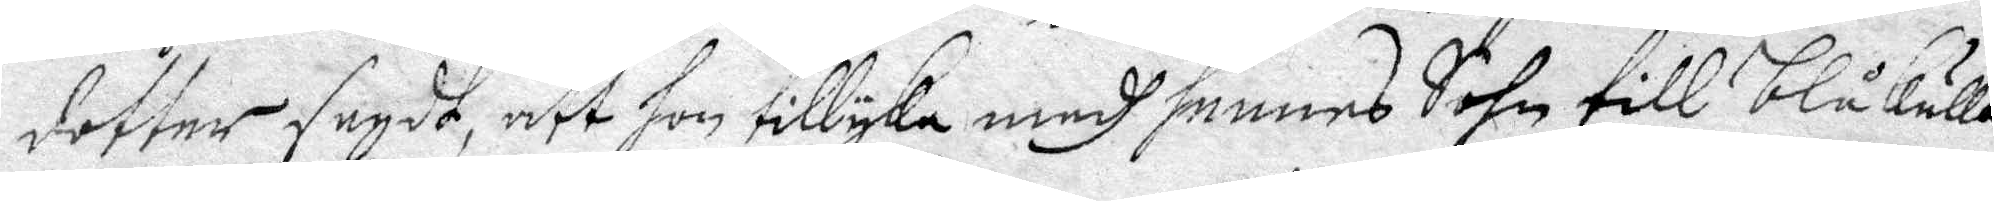dotter sagdt, att hon tillyka medh hennes Sohn till blåkulla
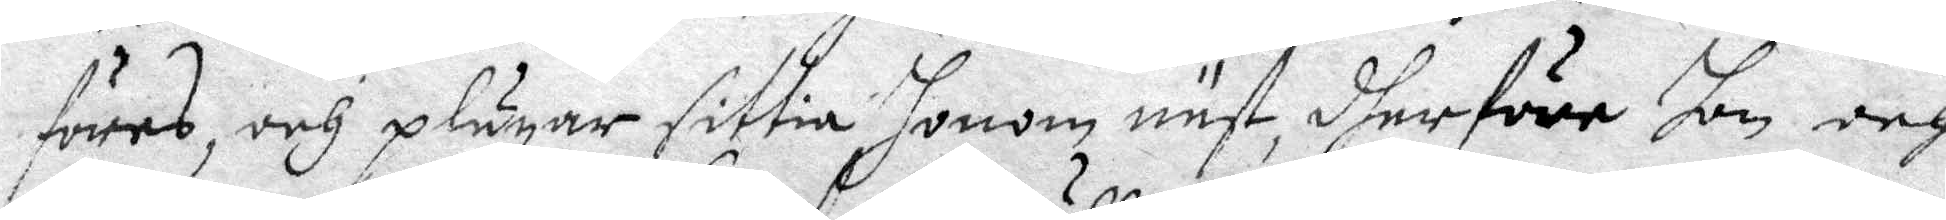föres, och plägar sittia honom näst, dherföre hon och
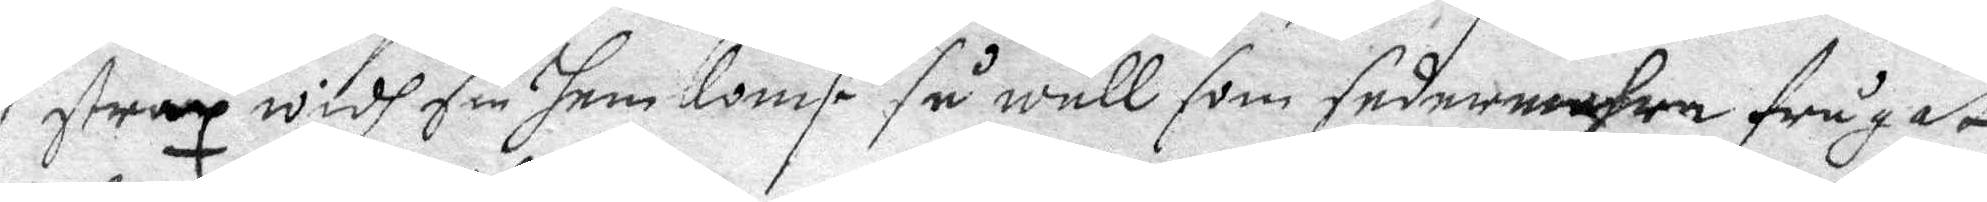strax widh sin hem komst så wäll som sedermera frågat
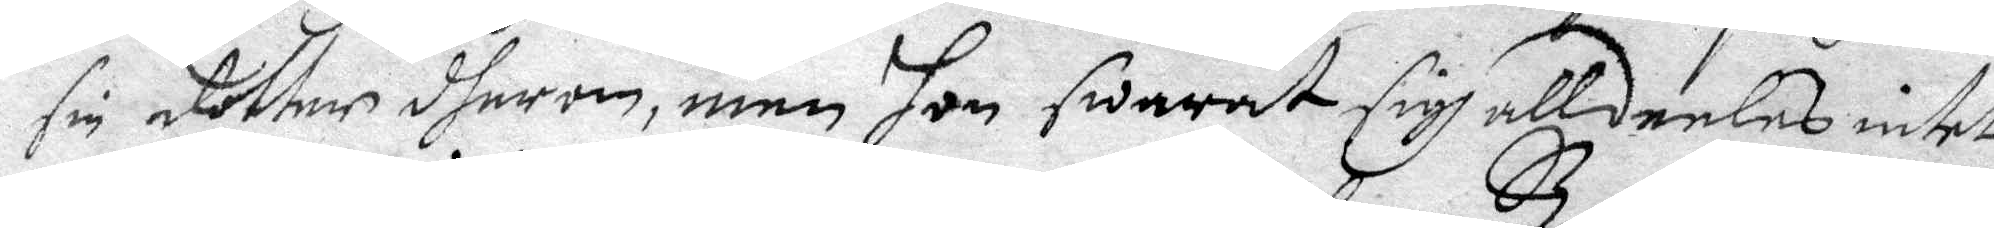sig dotter dherom, men hon swarat sigh alldenles intet
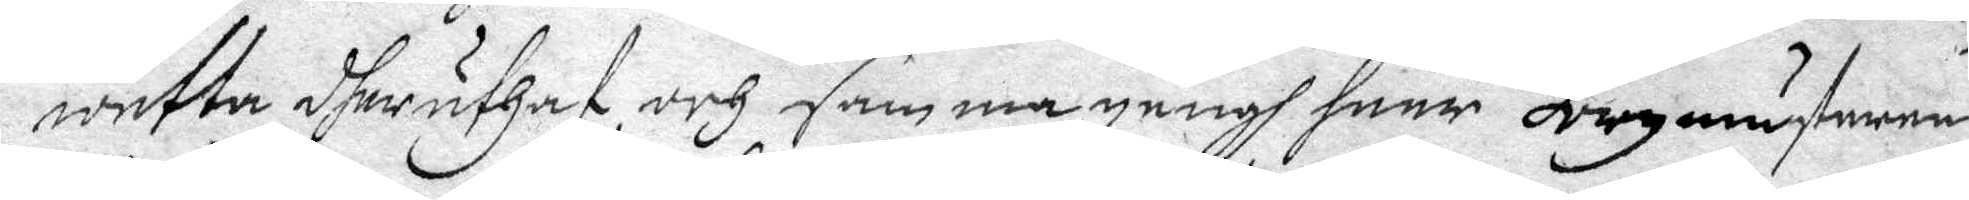wetta dher uthaf, och samma gångh haar Borgmästarens
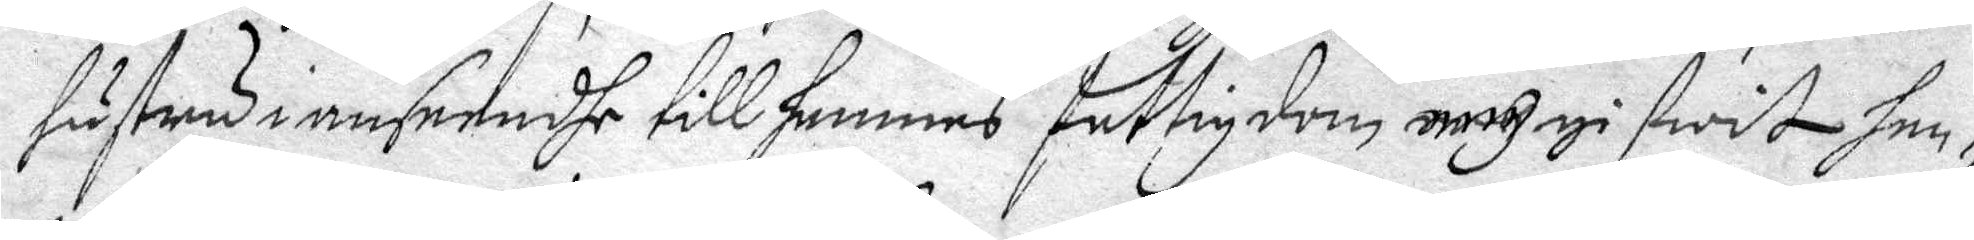hustru i anseendhe till hennes fattigdom ... gifwit hen¬
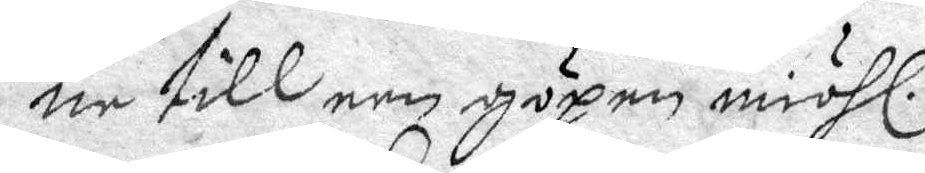ne till een göpen miöhl.
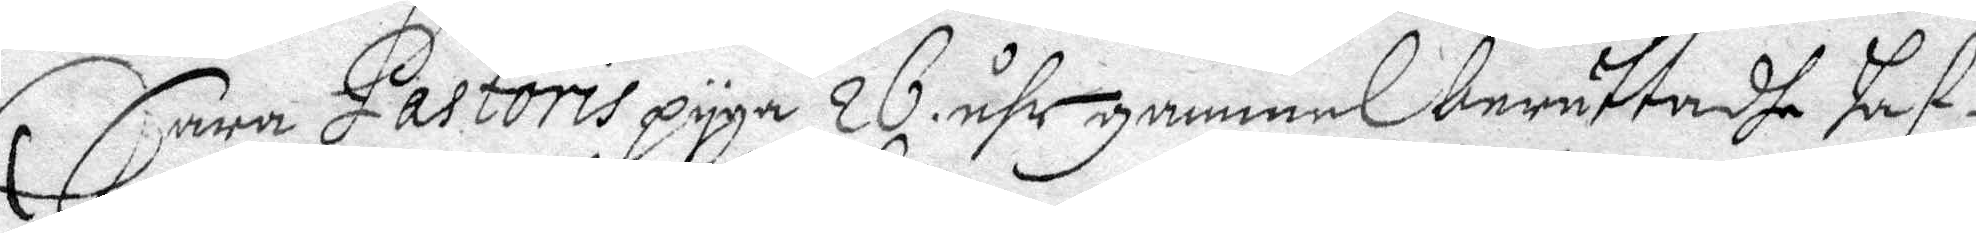Sara Pastoris pyga 26 åhr gammel, berättadhe haf¬
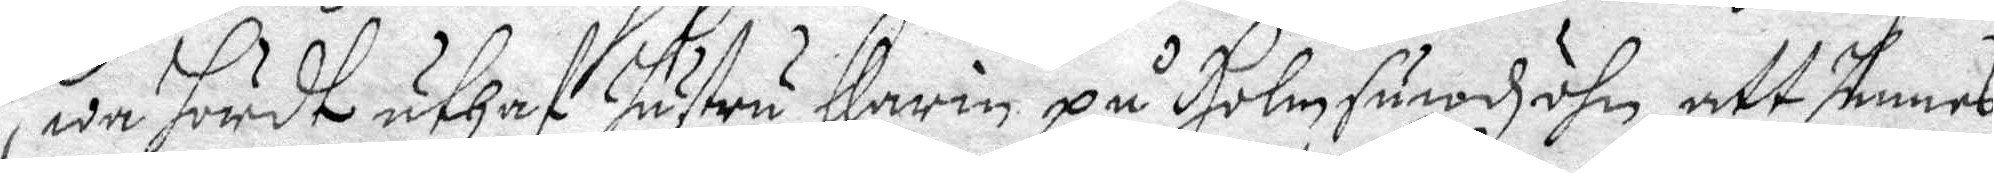wa hördt uthaff hustru Karin på Holmsundz öhn att hennes
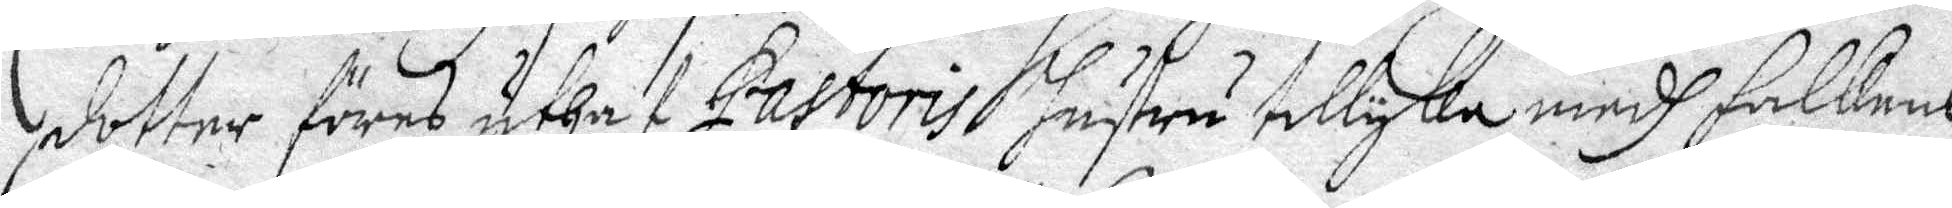dotter föres uthaf Pastoris hustru tillyka medh Falckens
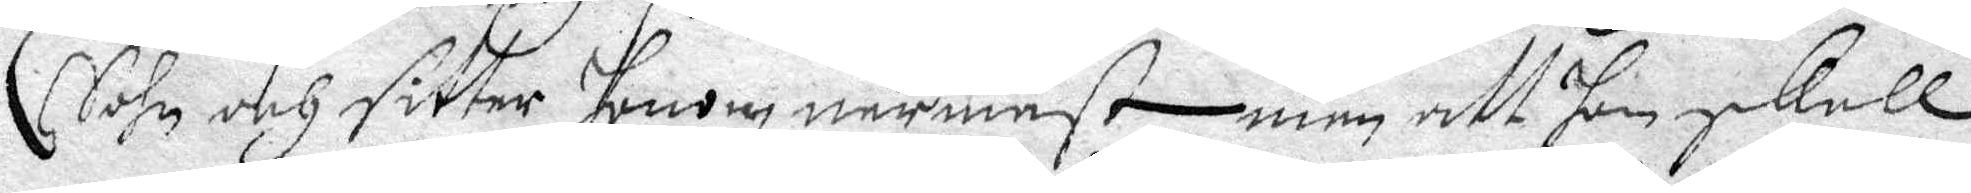Sohn och sitter honom närmast, men att hon skall
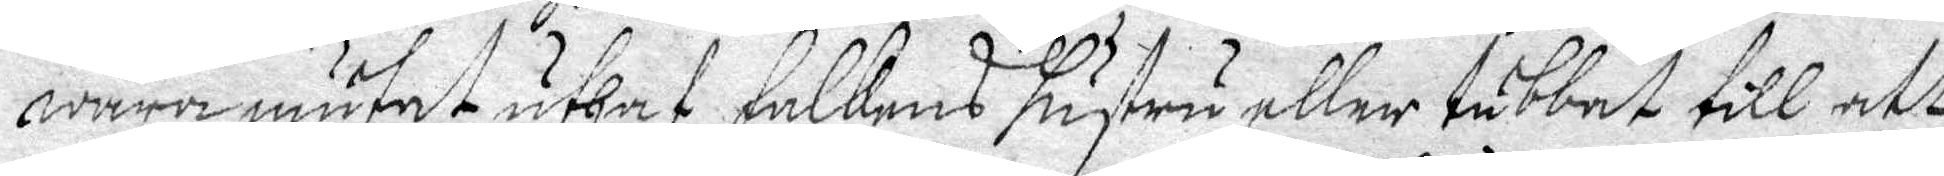wara mutat uthaf Falkens hustru, eller tubbat till att
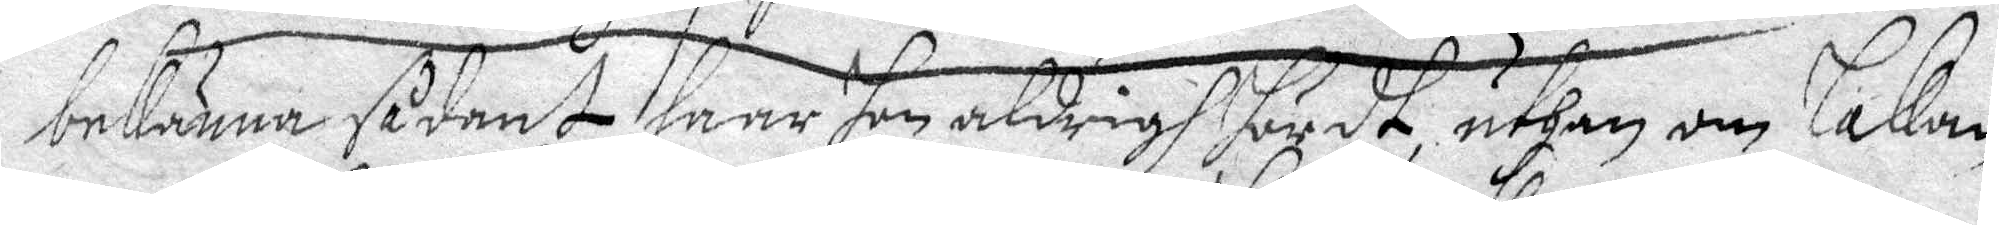bekänna sådant haar hon aldrigh höördt, uthan om lakan
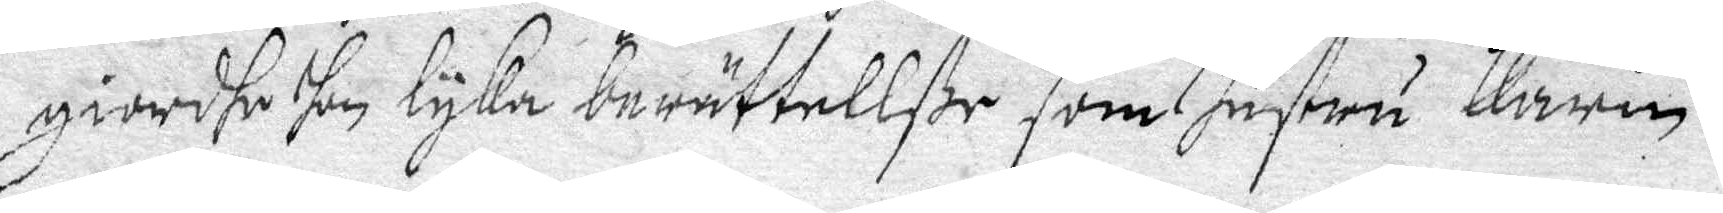giordhe hon lyka berättellße som hustru Karin.
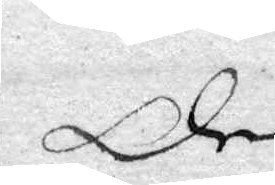Den
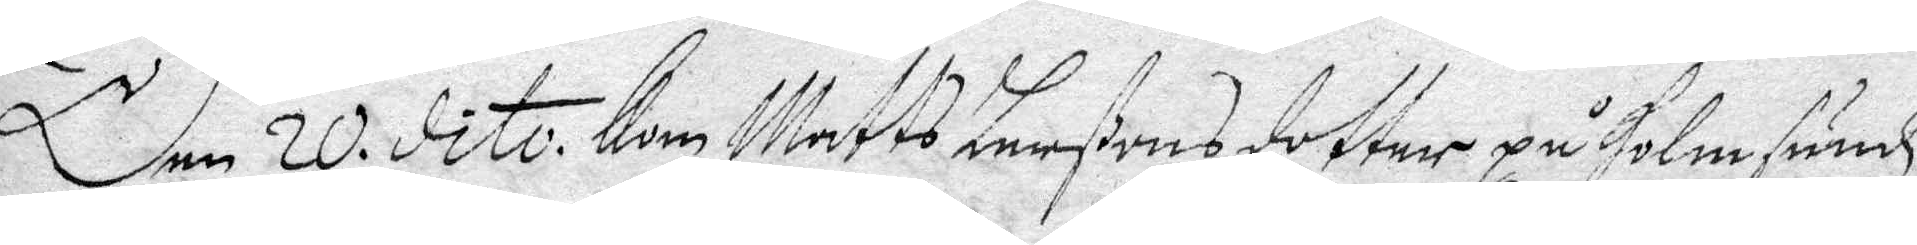Den 20. dito Kom Matts Larßons dotter på Holmsundz¬
